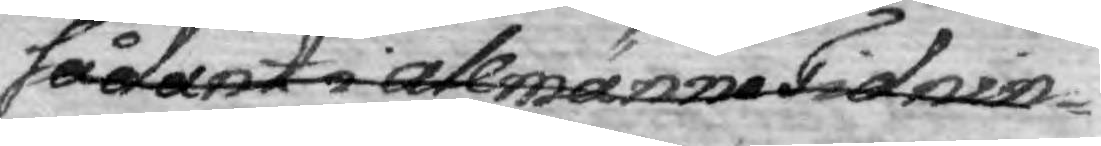sådant i Allmänne Tidnin¬
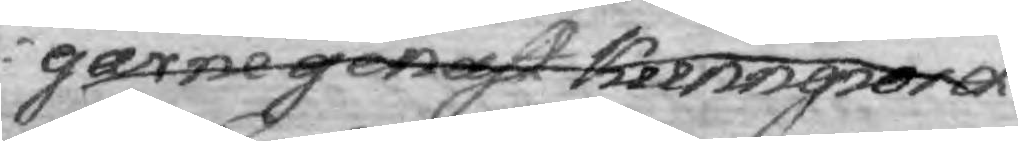garne genast kunngiord
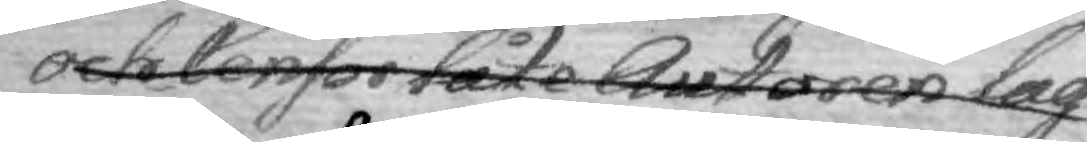och Censor låte Autpren lag¬
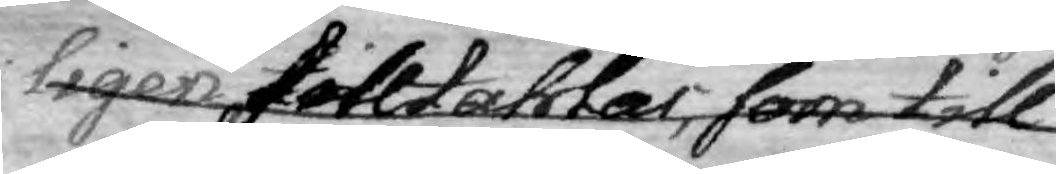ligen tilltahlas, som till
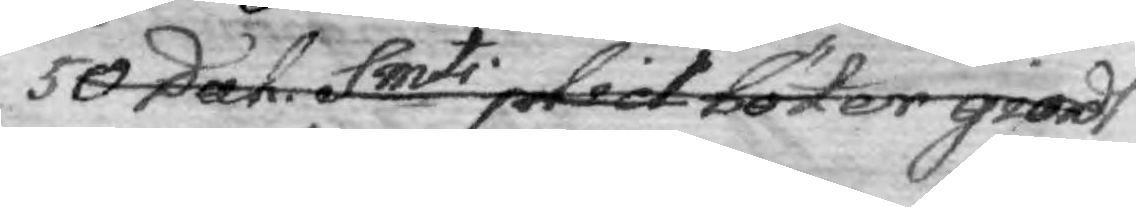50 Dal. Smti plict böter giordt
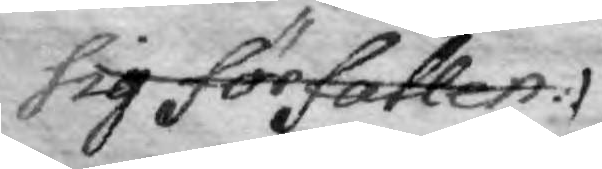sig förfallen.
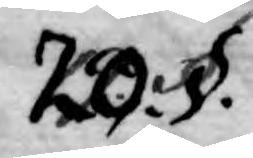20. §.
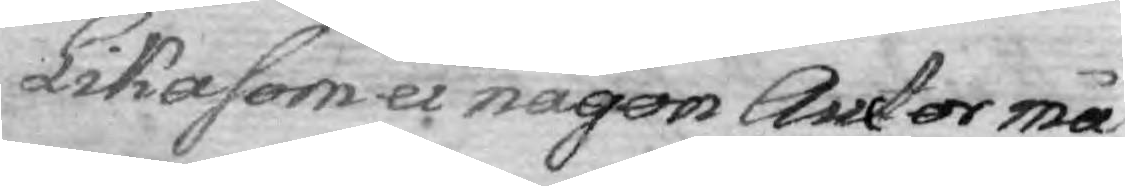Likasom ei någon Auctor må
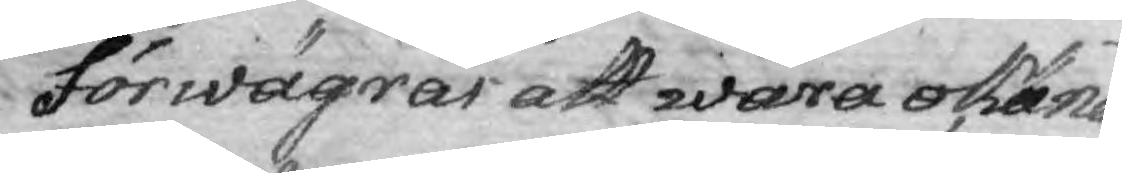förwägrar att wara okänd
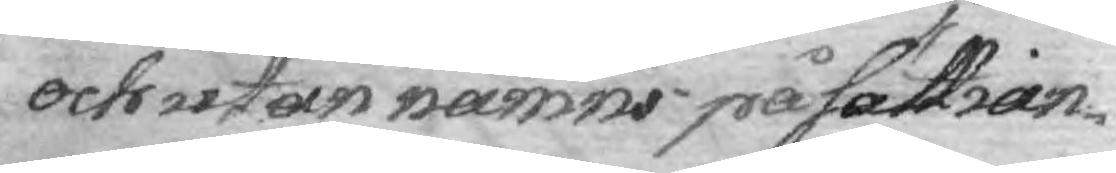och utan namns påsättian¬
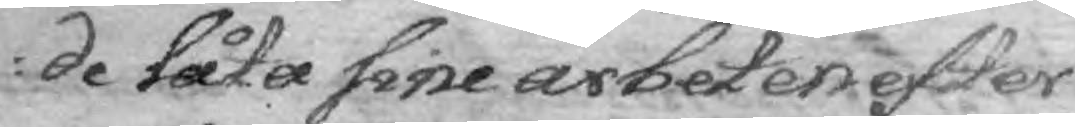de låta sine arbeten efter
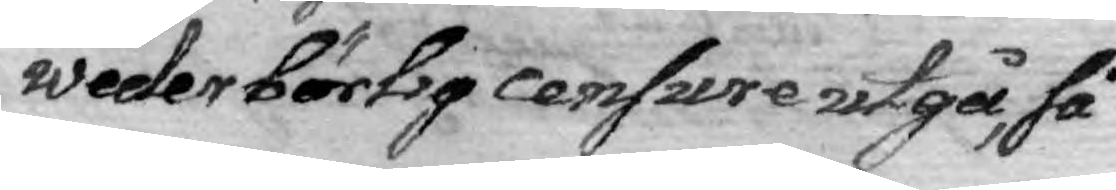wederbörlig censure utgå, så
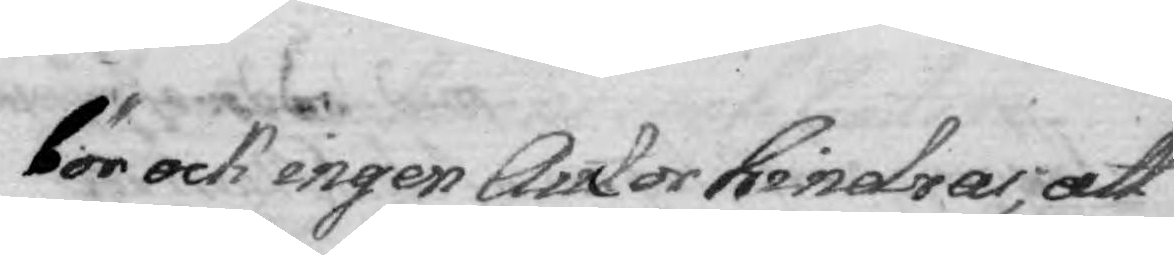bör ock ingen Auctor hindras, att
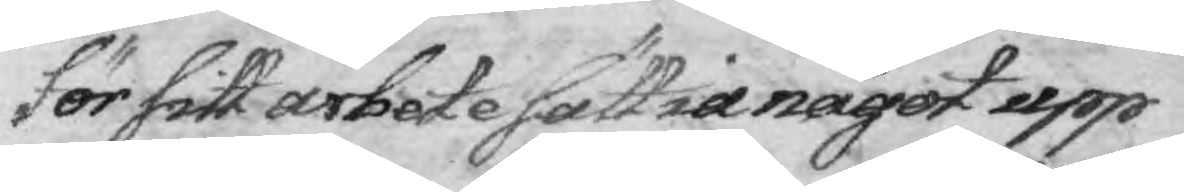för sitt arbete sättia något upp
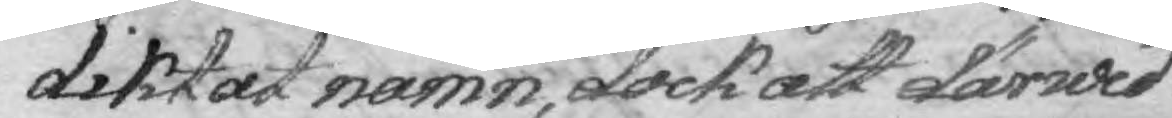diktat namn, dock att därwid
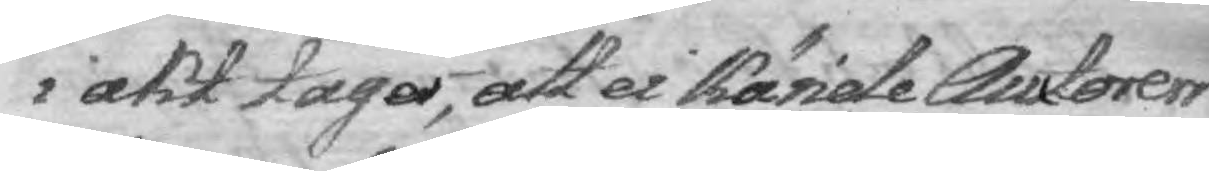i akt tagas; att ei kände Auctorers
